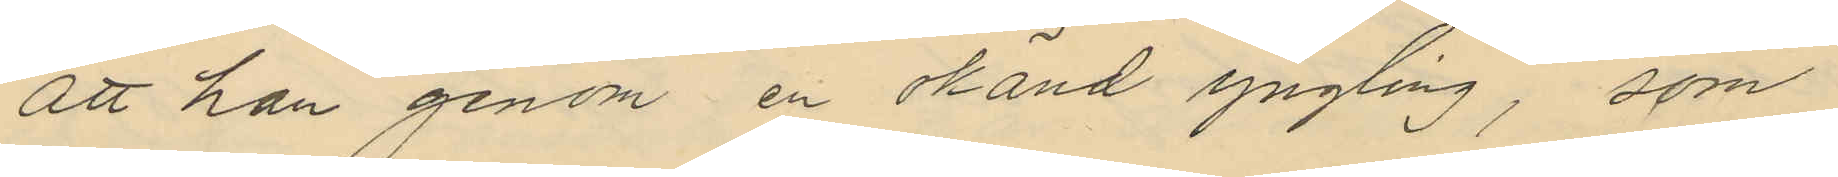att han genom en okänd yngling, som
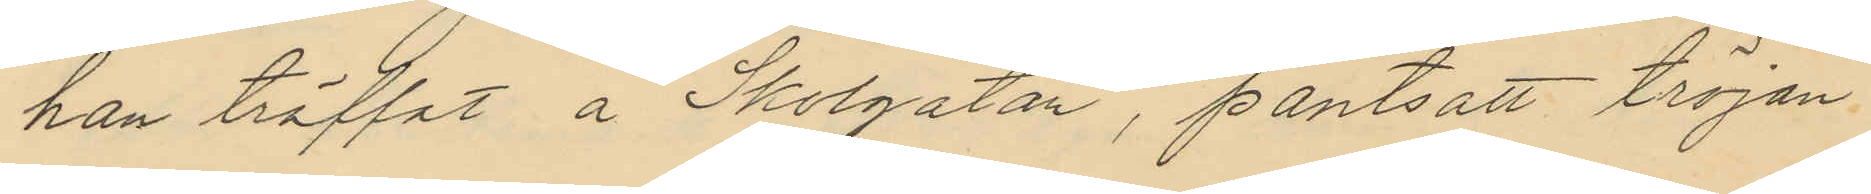han träffat å Skolgatan, pantsatt tröjan
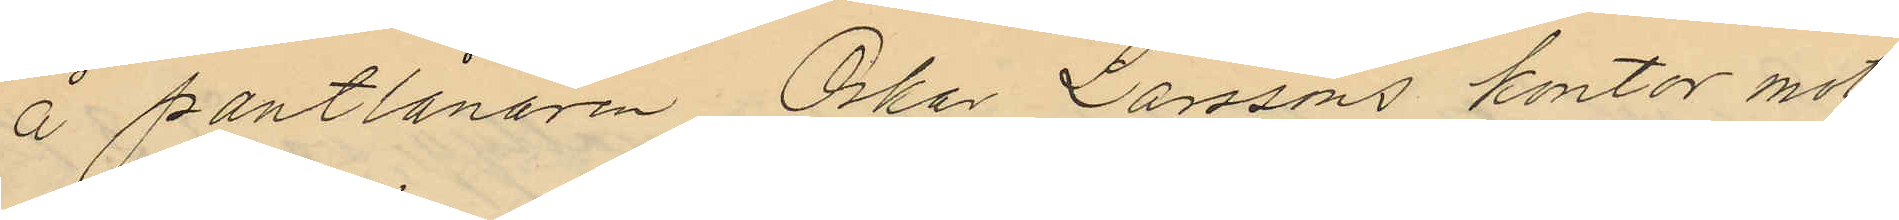å pantlånaren Oskar Larssons kontor mot
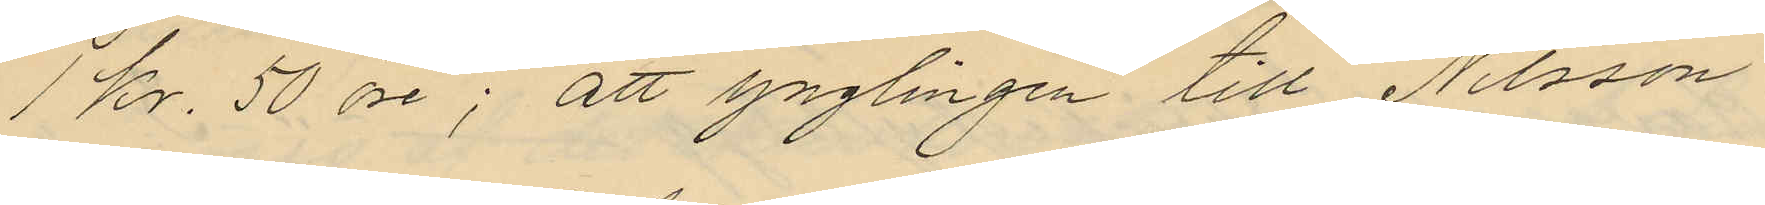1 kr. 50 öre; att ynglingen till Nilsson
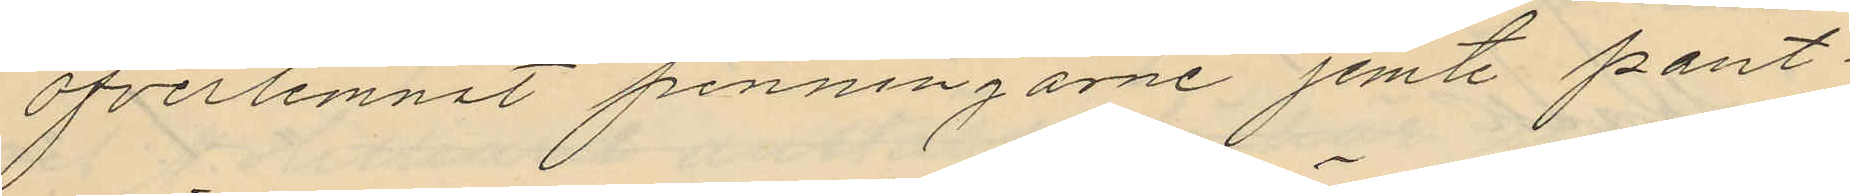öfverlemnat penningarne jemte pant¬
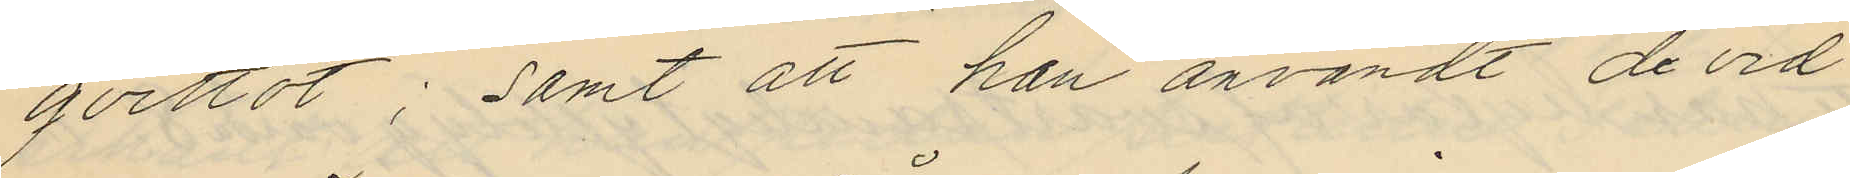qvittot; samt att han användt de vid
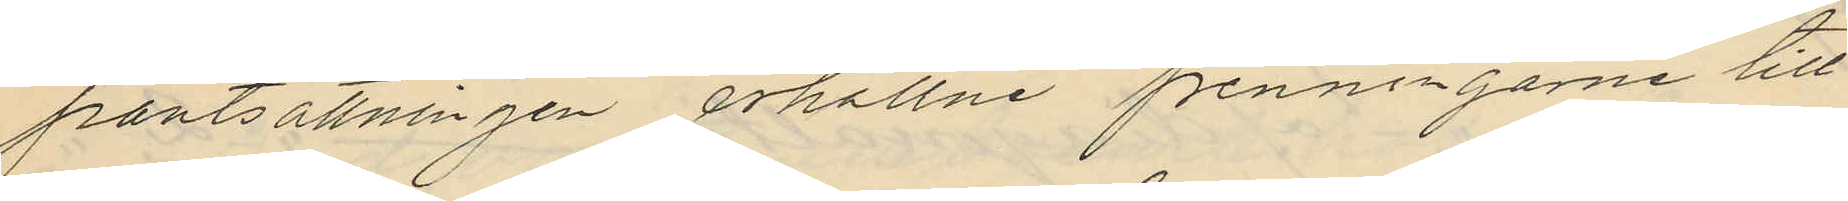pantsättningen erhållne penningarne till
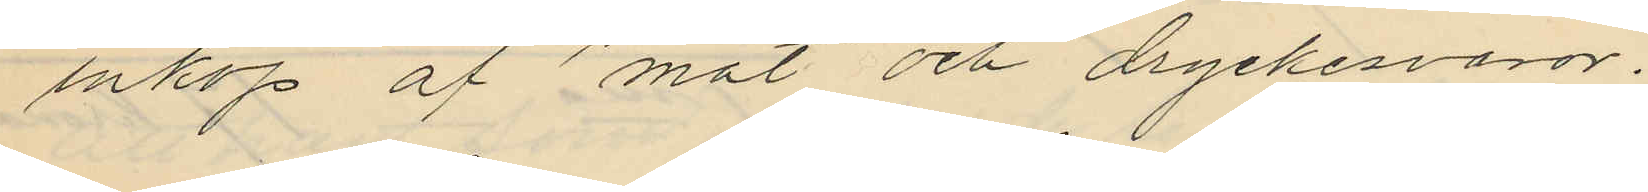inköp af mat och dryckesvaror.
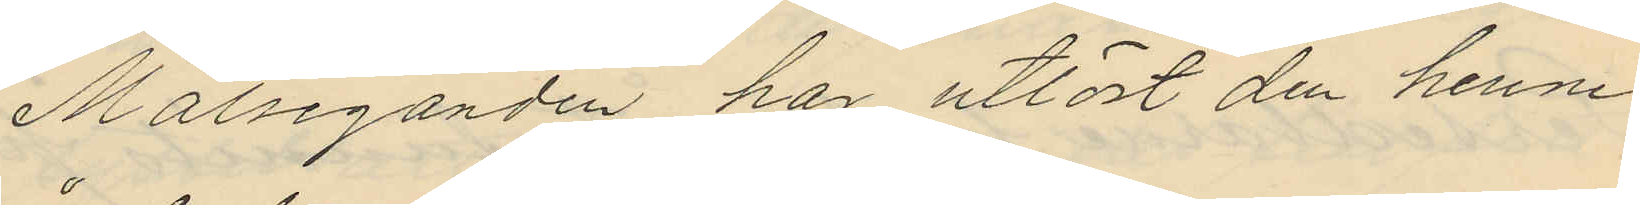Målseganden har utlöst den henne
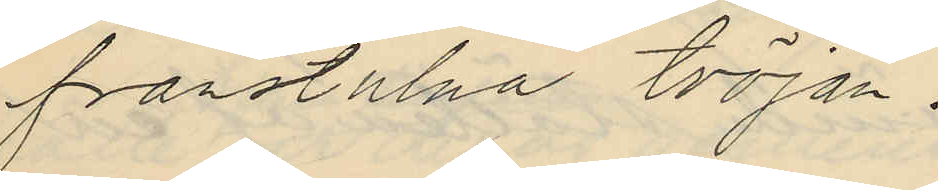frånstulna tröjan.
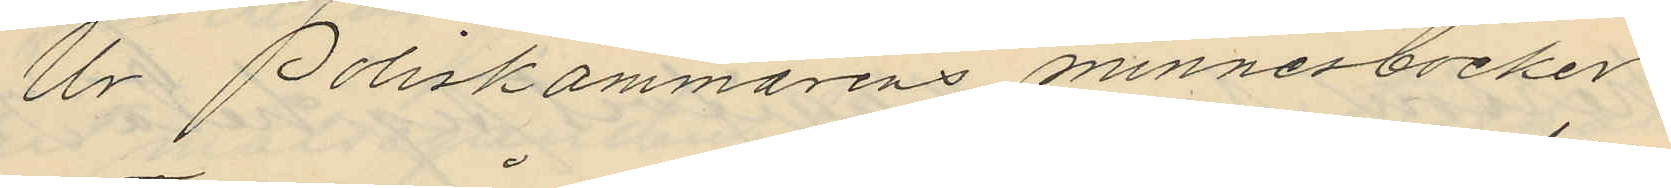Ur Poliskammarens minnesböcker
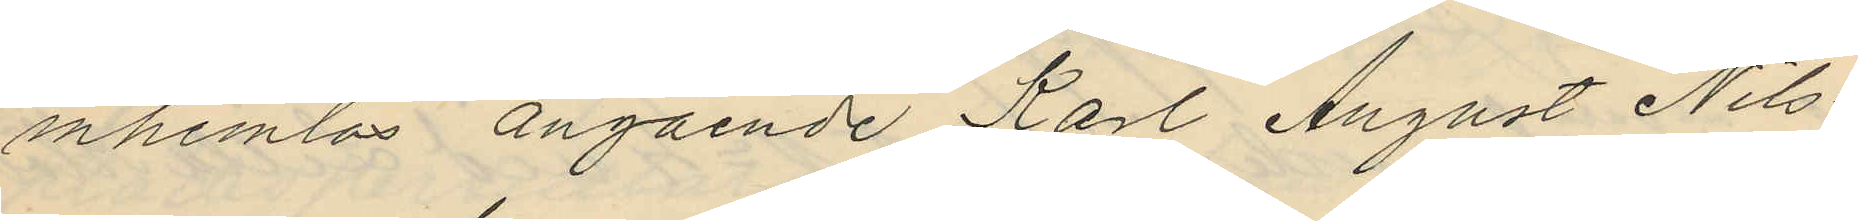inhemtas angående Karl August Nils¬
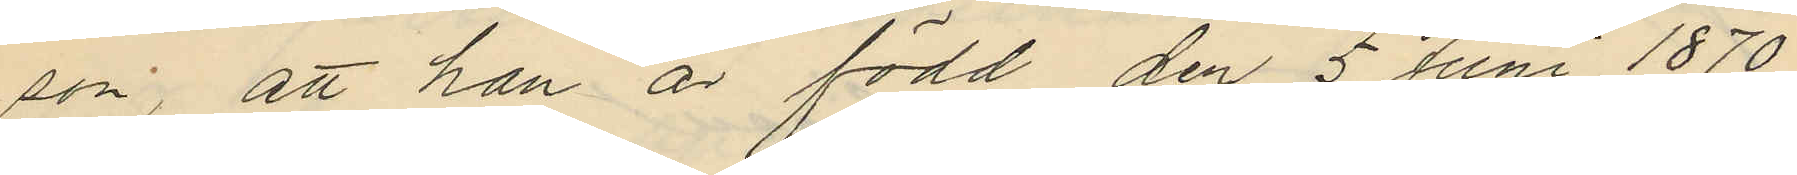son, att han är född den 5 Juni 1870
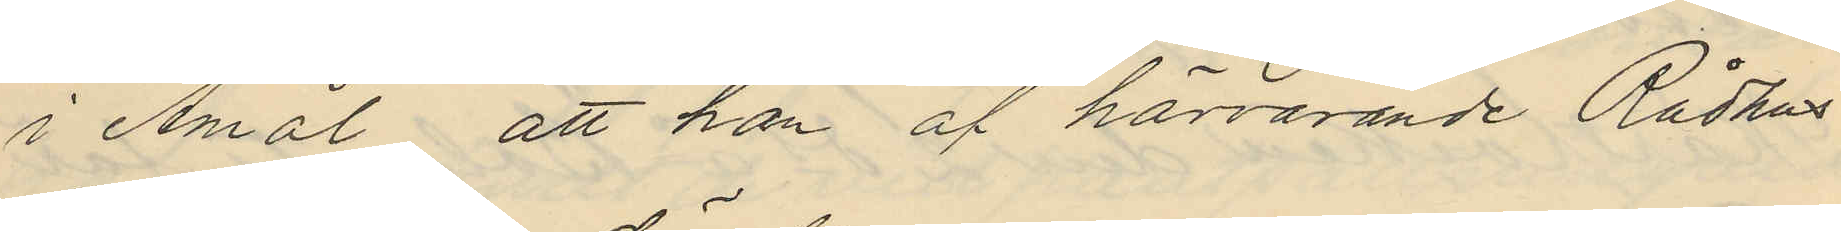i Åmål att han af härvarande Rådhus
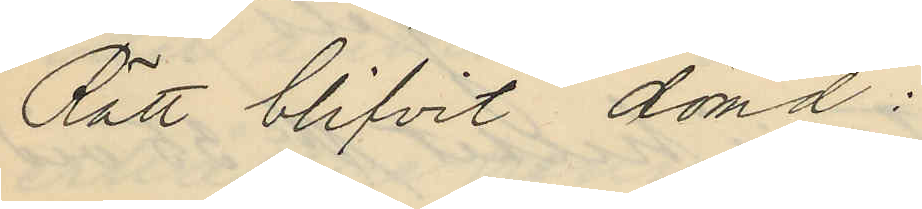Rätt blifvit dömd:
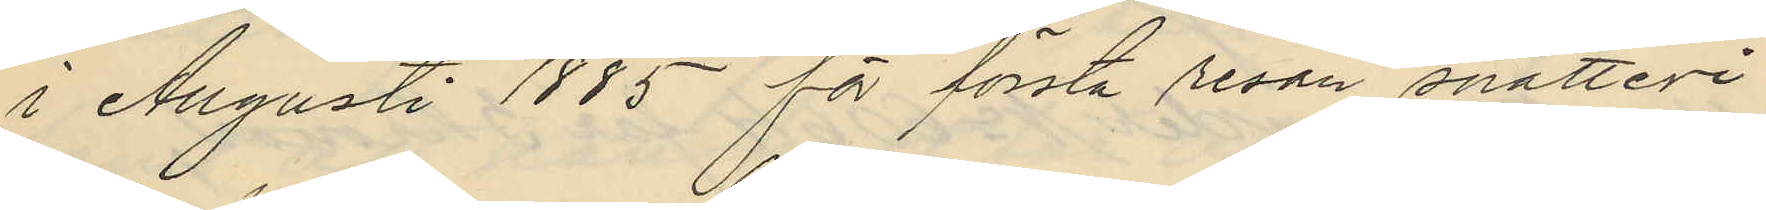i Augusti 1885 för första resan snatteri
